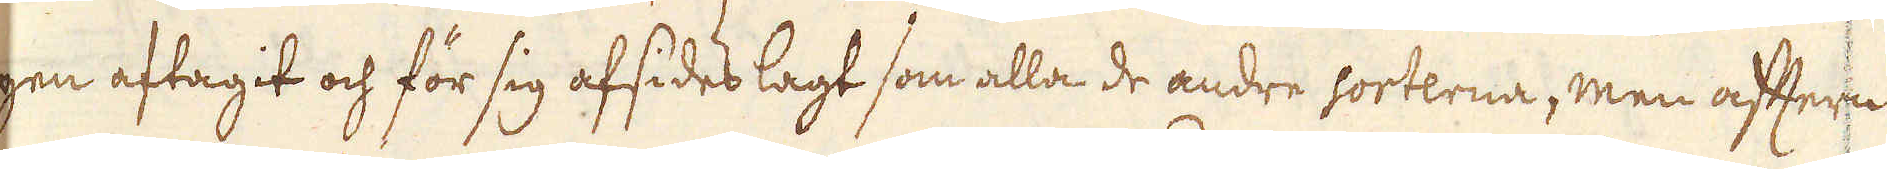gen aftagit och för sig afsides lagt som alla de andre sorterna, men aftern
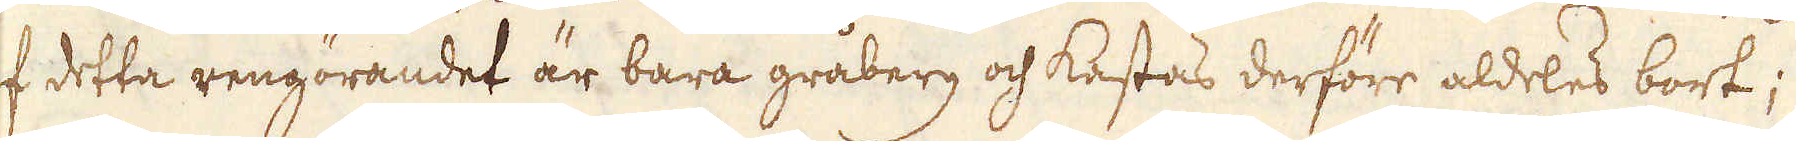af detta rengörandet är bara gråberg och kastas derföre aldeles bort;
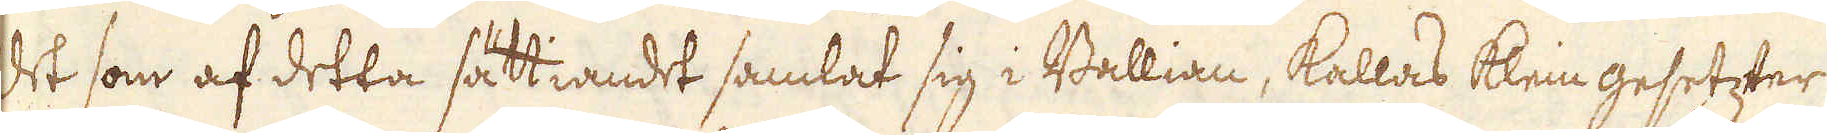Det som af detta sättiandet samlat sig i Ballian, kallas klein gesetzter
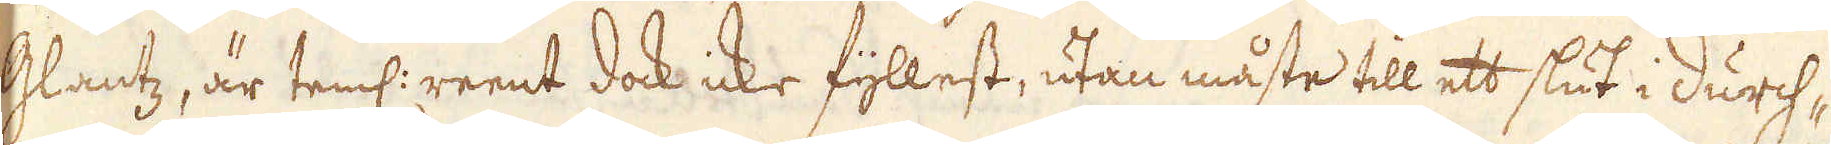Glantz, är teml: reent dock icke fyllest, utan måste till ett slut i durch-
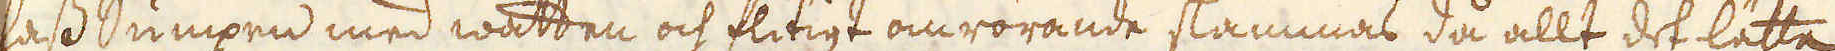lass Sumpen med watten och fitigt omrörande slämmas då allt det lätta
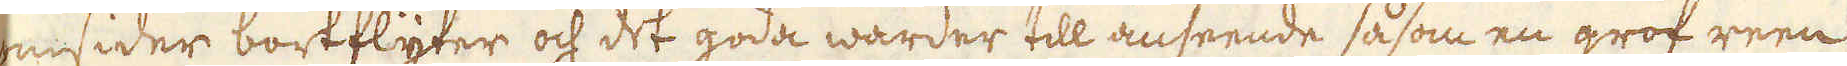omsider bortflyter och det goda warder till anseende såsom en grof reen
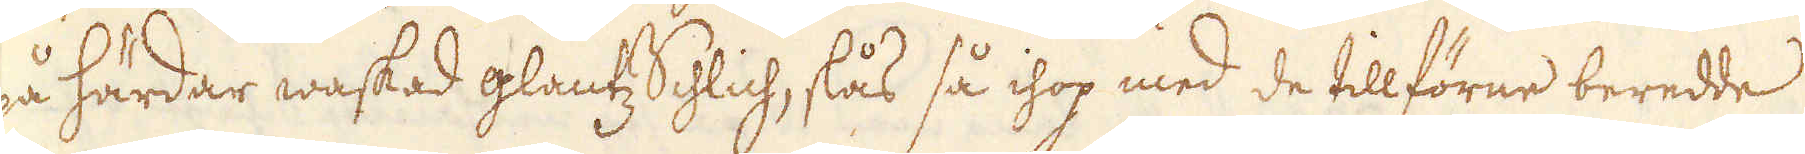på härdar waskad glantz Schlich, slås så ihop med de tillförne beredde
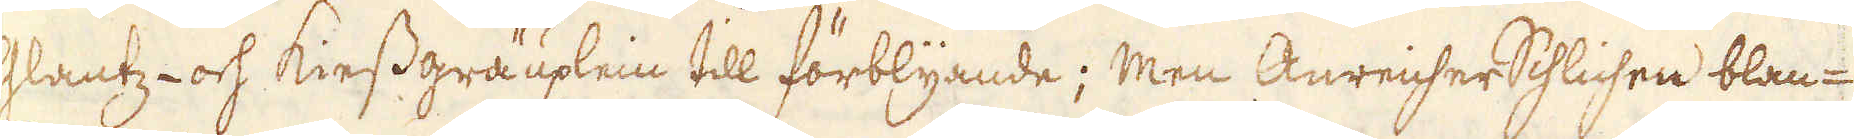Glantz- och kiessgräuplein till förblyande; Men AnreiserSchlichen blan-
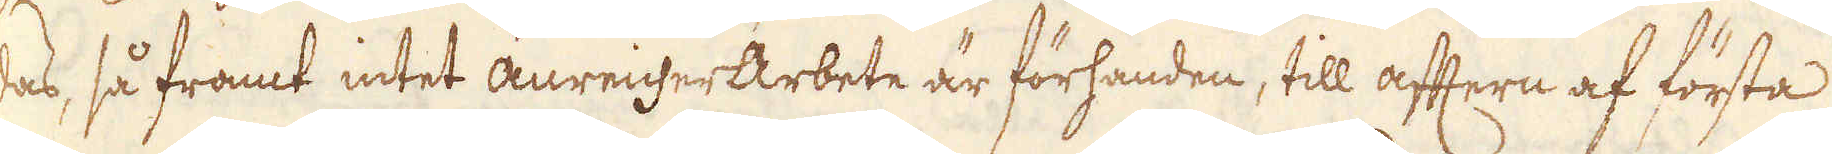das, så framt intet anreicherArbete är förhanden, till aftern af första
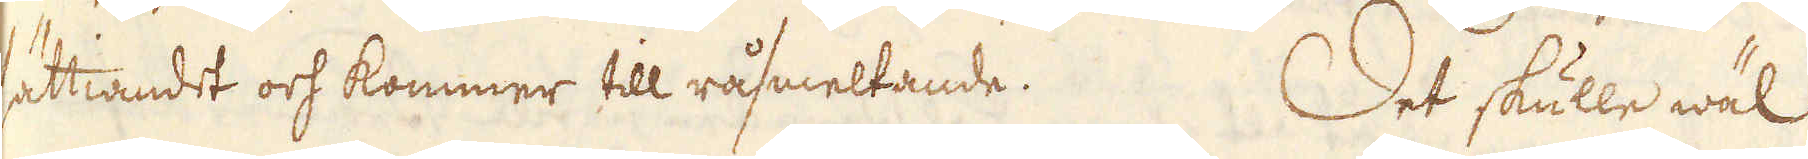sättiandet och kommer till råsmeltande. Det skulle wäl
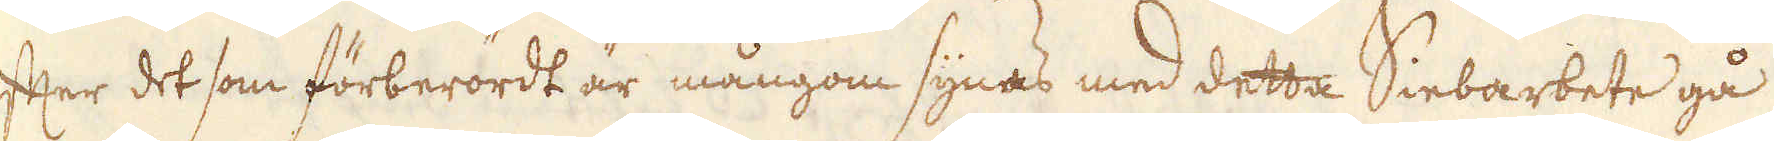efter det som förberördt är mångom synas med detta Siebarbete gå
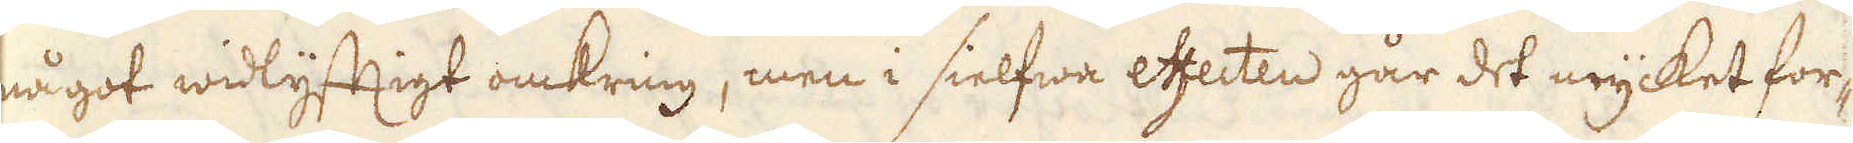något widlyftigt omkring, men i sielfwa effecten går det mycket for-
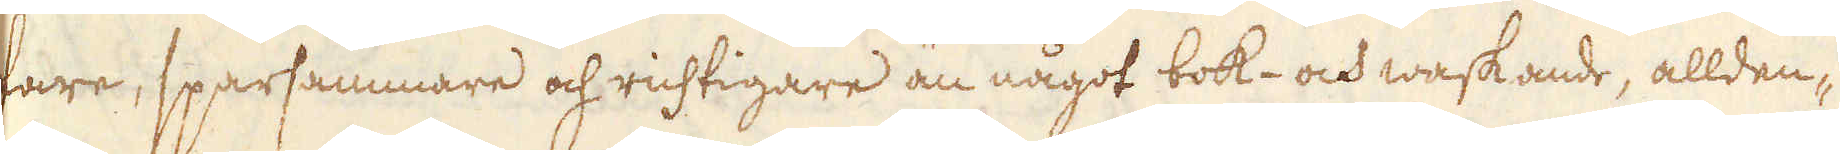fare, sparsammare och richtigare än något bok- och waskande, allden-
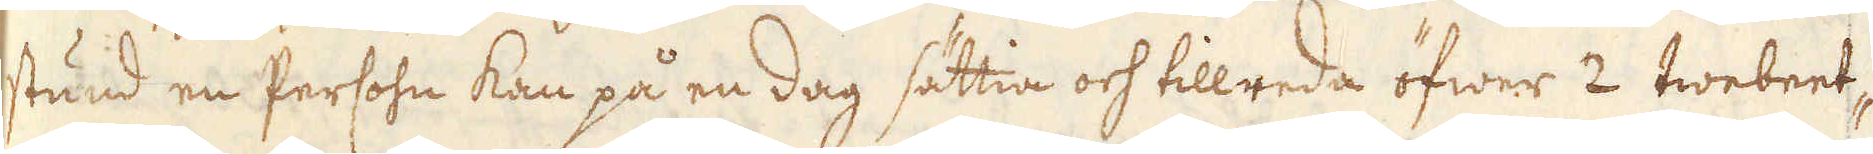stund en Persohn kan på en dag sättia och tillreda öfwer 2 twebeet-
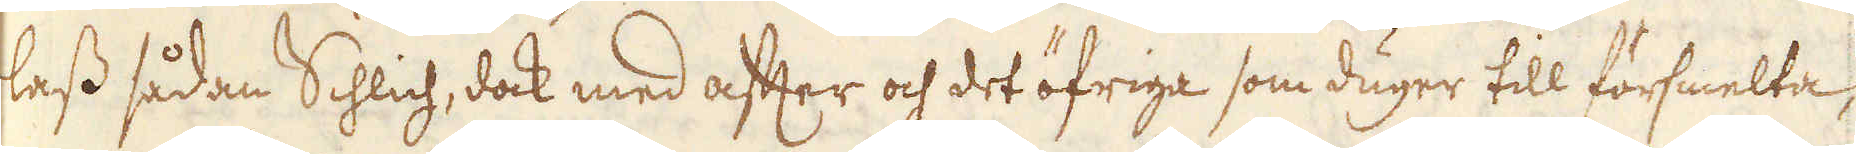lass sådan Schlich, dock med after och det öfriga som duger till försmelta,
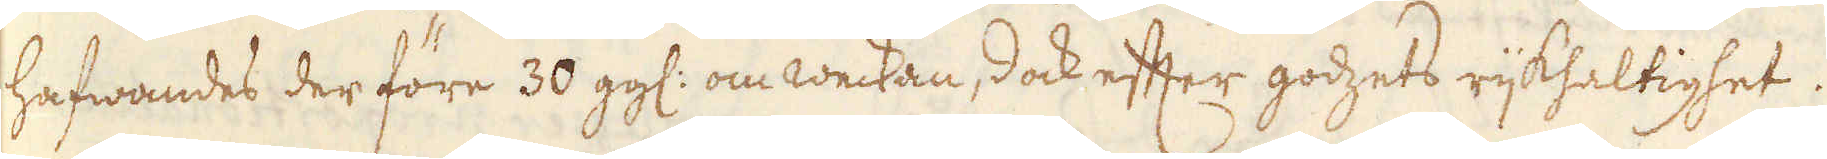hafwandes der före 30 ggl: om weckan, dock efter godzets rijkhaltighet.
